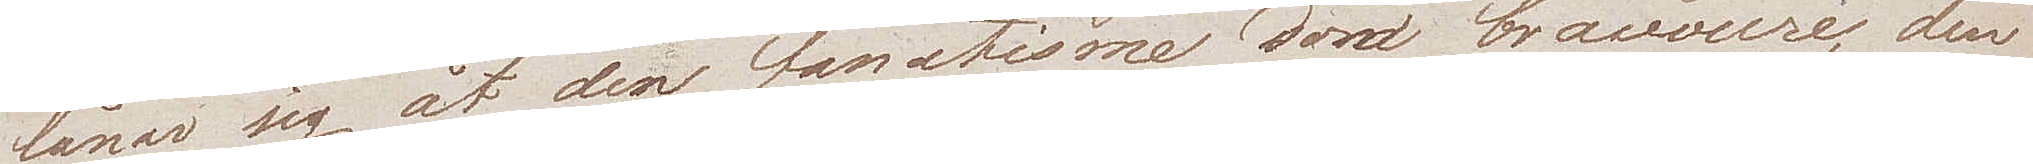lånar sig åt den fanatisme den bravoure, den
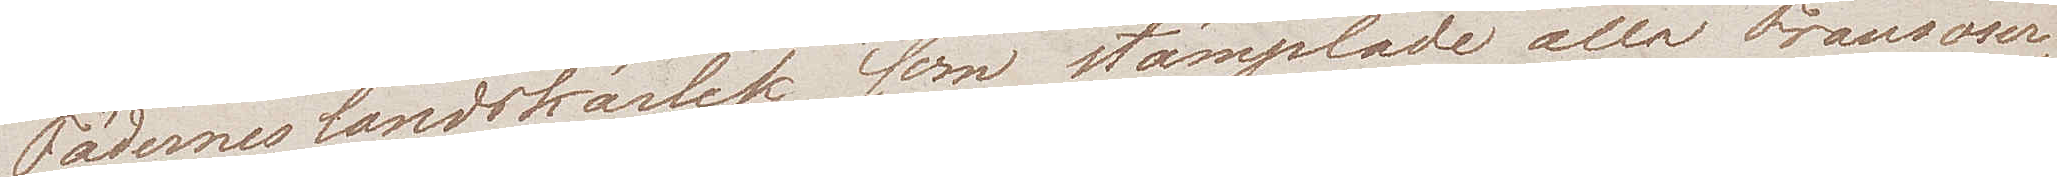Fäderneslandskärlek som stämplade alla Fransoser¬
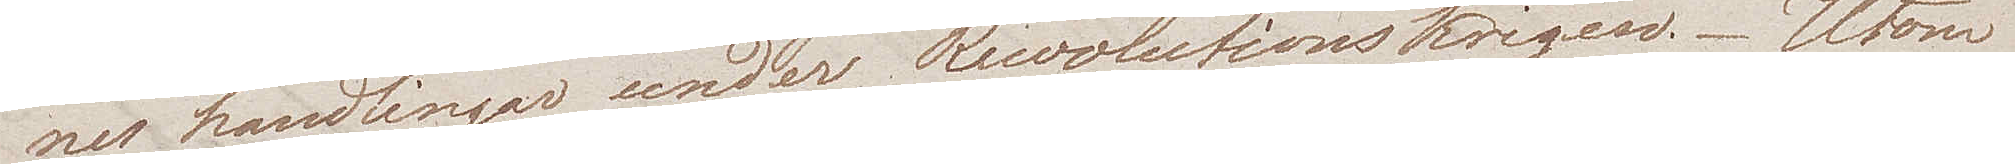nes handlingar under Revolutionskrigen. - Utom
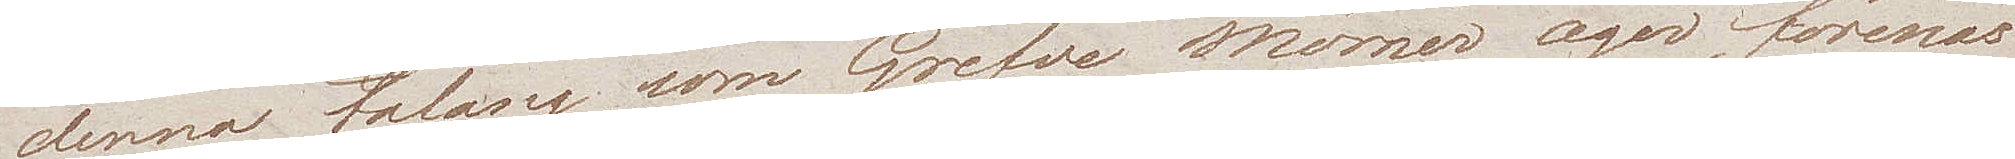denna talang som Grefve Mörner äger, förenas
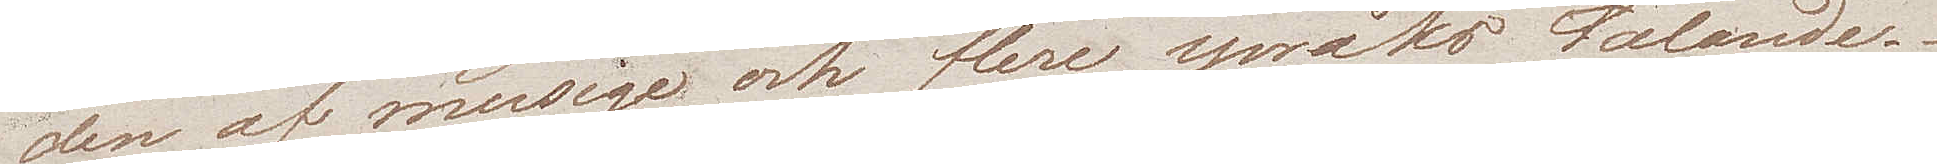den av musique och flere språks talande.
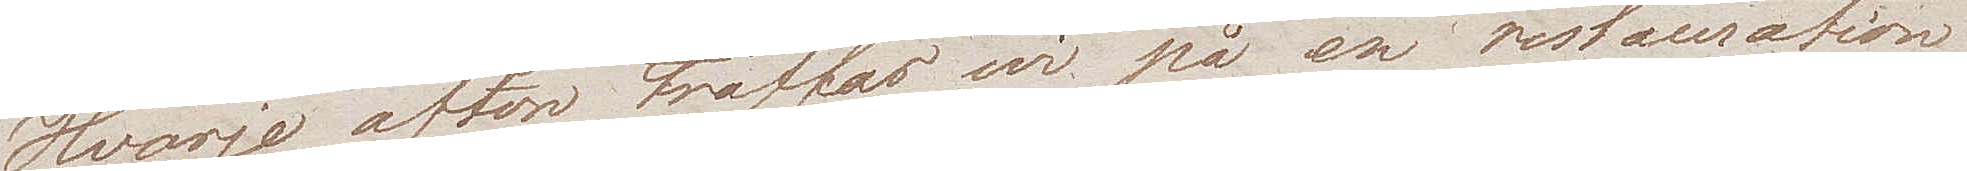Hvarje afton träffas wi på en restauration
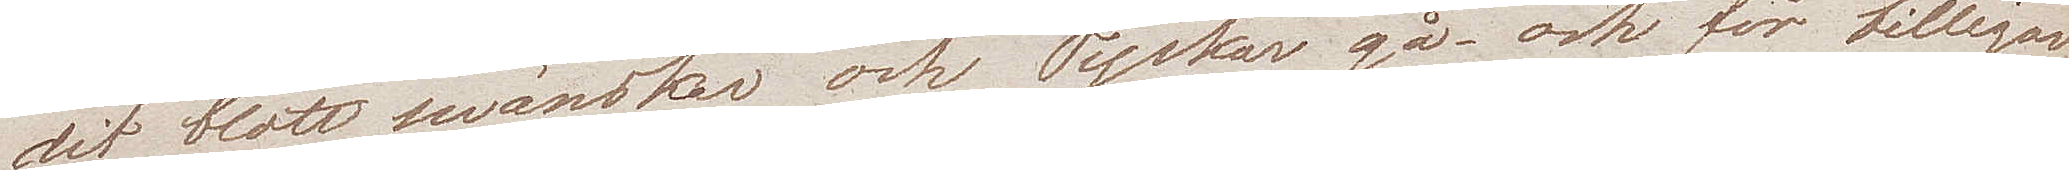dit blott swänskar och Tyskar gå – och för billigare
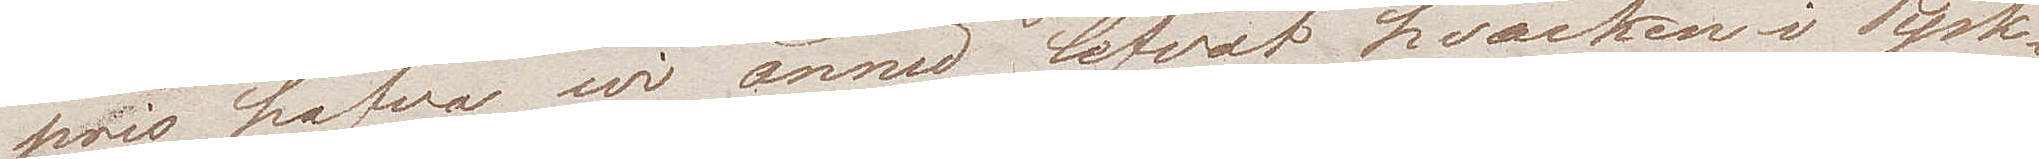pris hafva wi ännu lefvat hvarken i Tysk¬
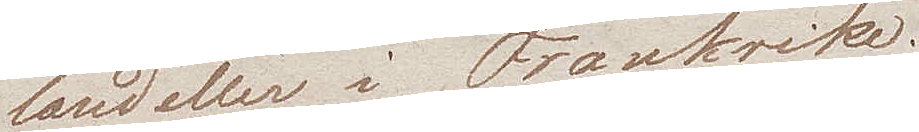land eller i Frankrike.
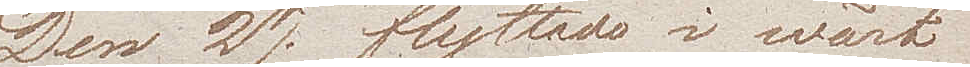Den 27e flyttade i wårt
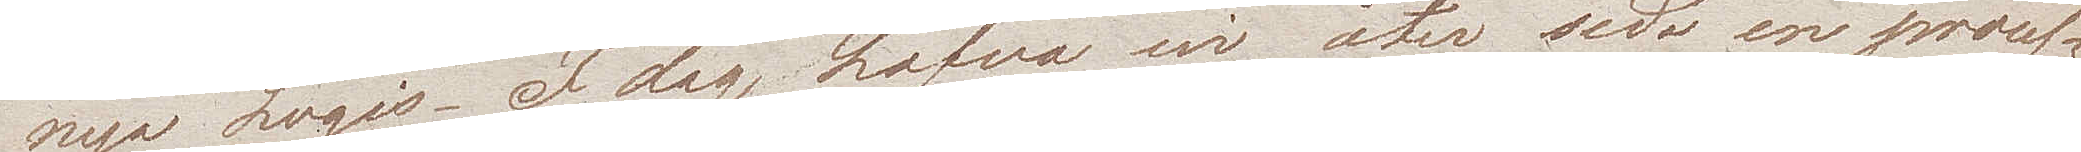nya Logis. I dag hafva wi åter sedt en proces¬
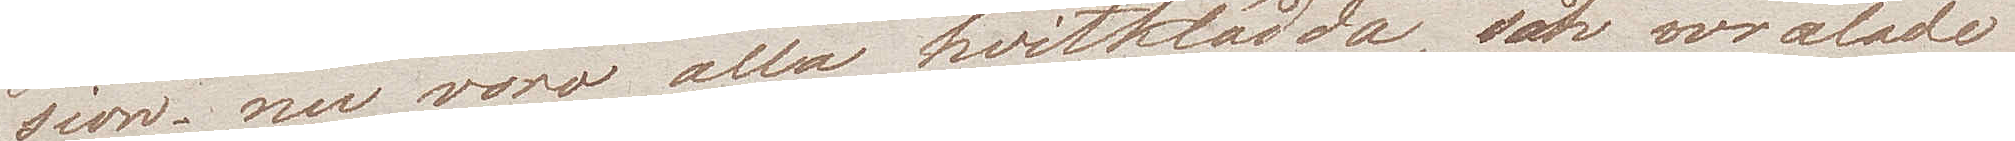sion – nu voro alla hvitklädda, och wrålade
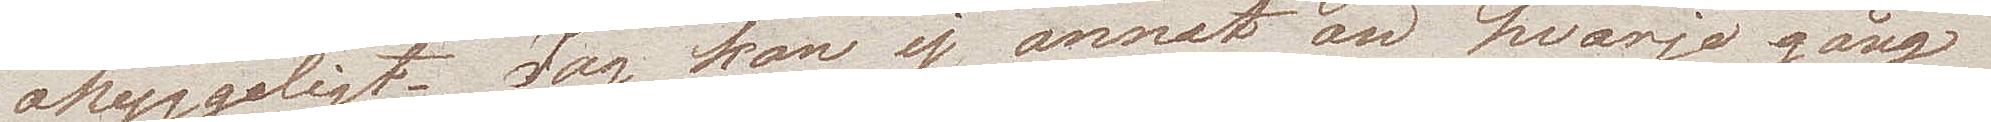ohyggligt. Jag kan ej annat än hvarje gång
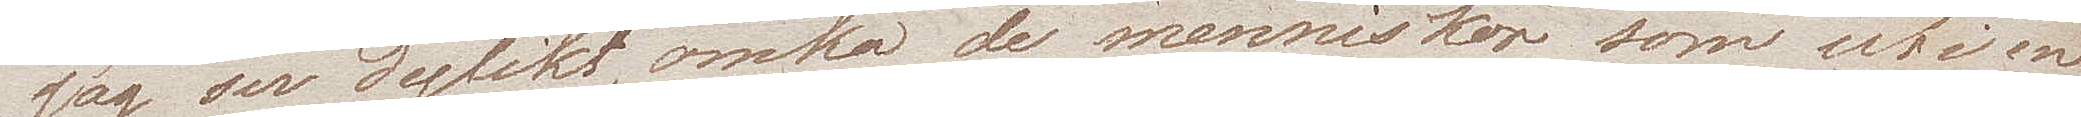jag ser dylikt, ömka de menniskor som uti en
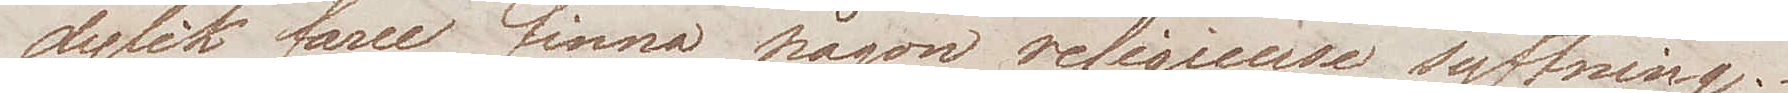dylik farce finna någon religieuse syftning.
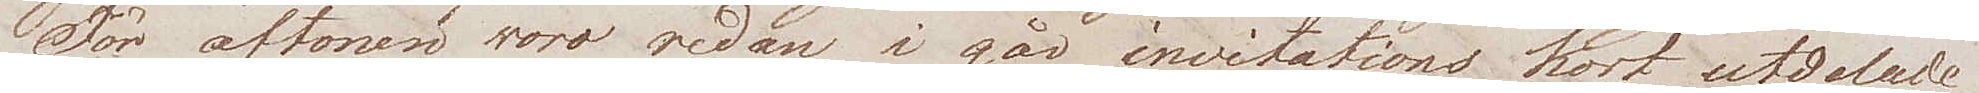För aftonen woro redan i går invitations kort utdelade
